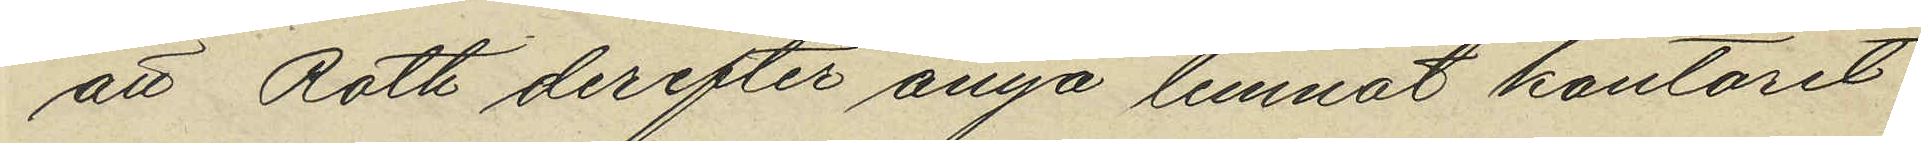att Roth derefter ånyo lemnat kontoret
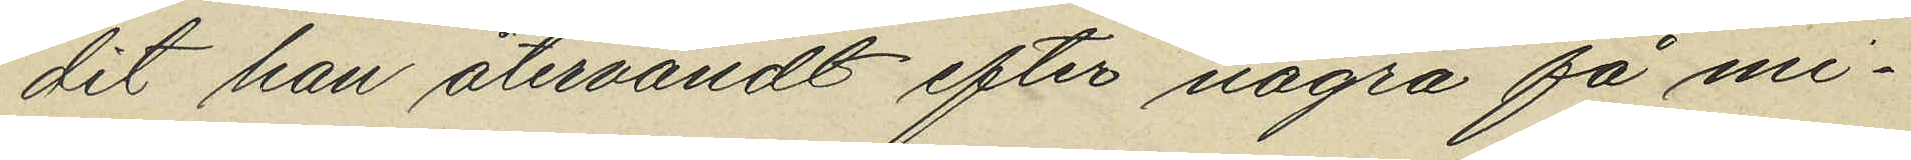dit han återvändt efter några få mi¬
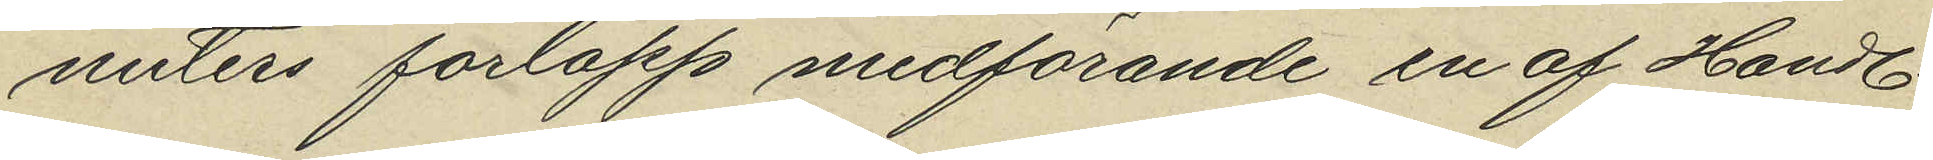nuters förlopp medförande en af Handl.
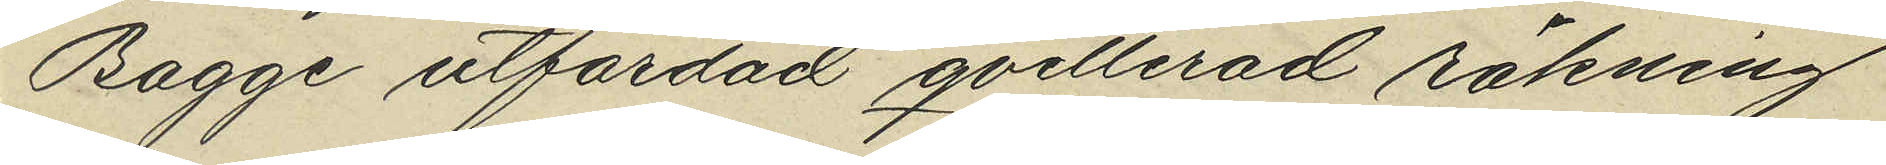Bagge utfärdad qvitterad räkning
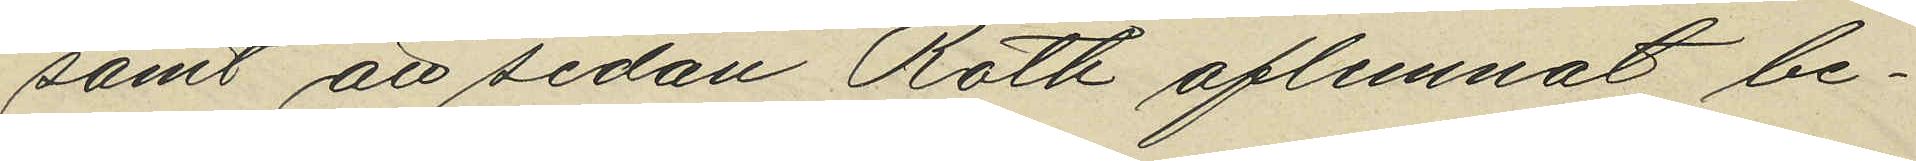samt att sedan Roth aflemnat be¬
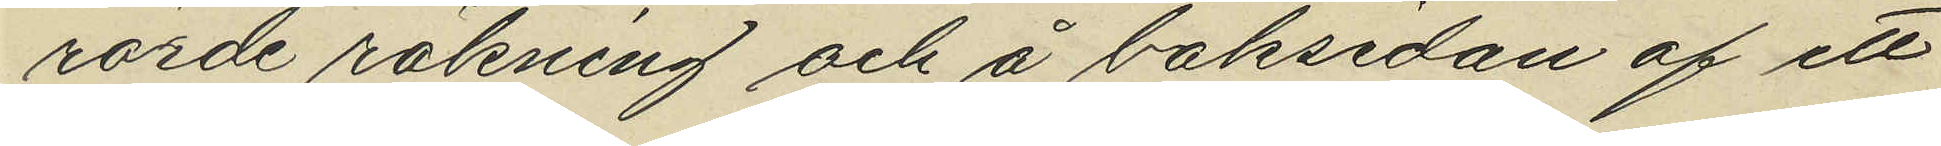rörde räkning och å baksidan af ett
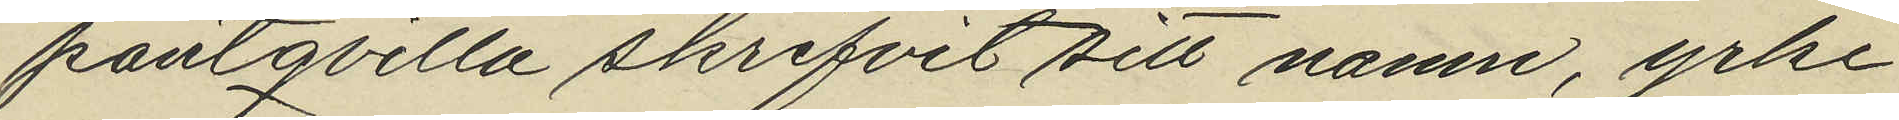pantqvilla skrifvit sitt namn, yrke
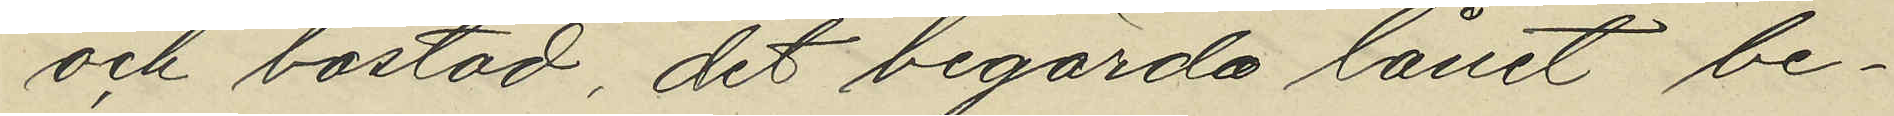och bostad, det begärda lånet be¬
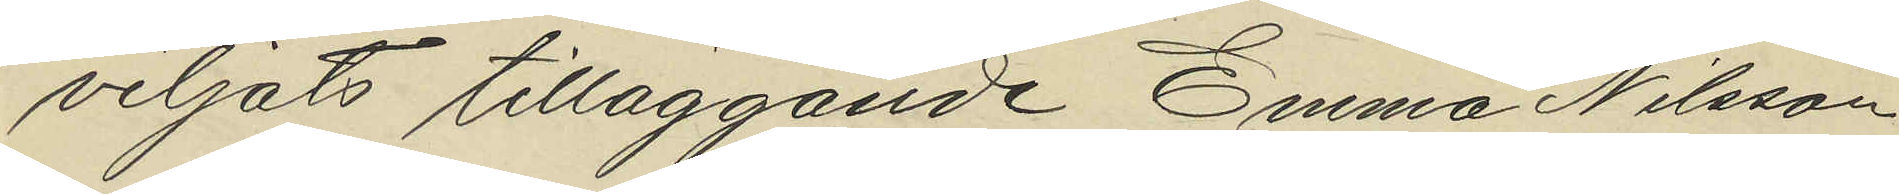viljats tilläggande Emma Nilsson
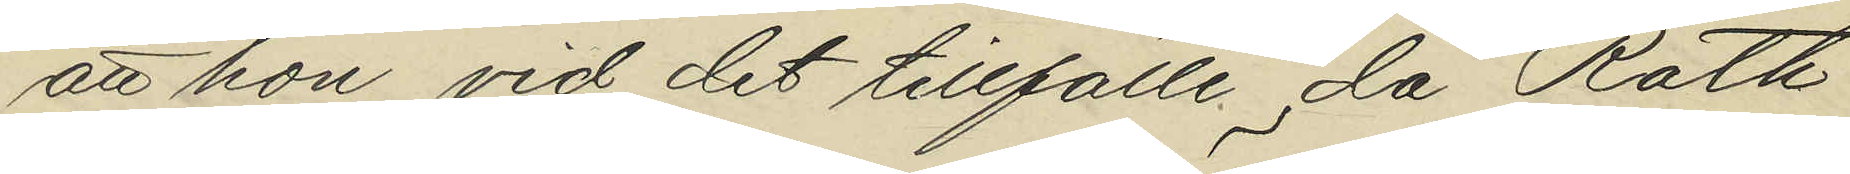att hon vid det tillfälle då Roth
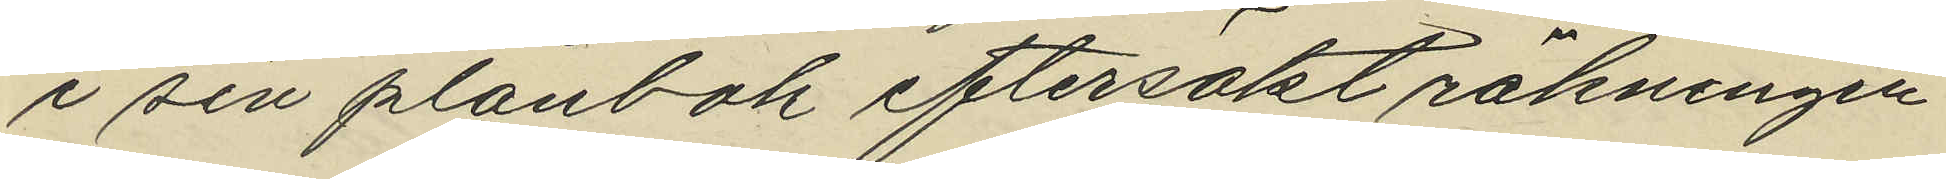i sin plånbok eftersökt räkningen
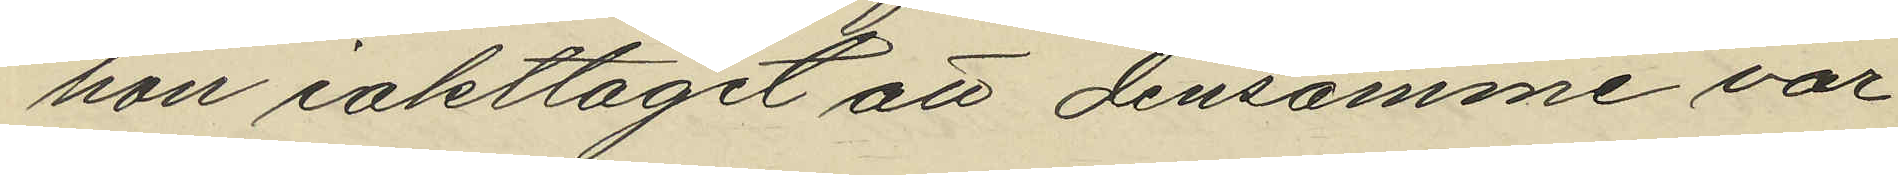hon iakttagit att densamme var
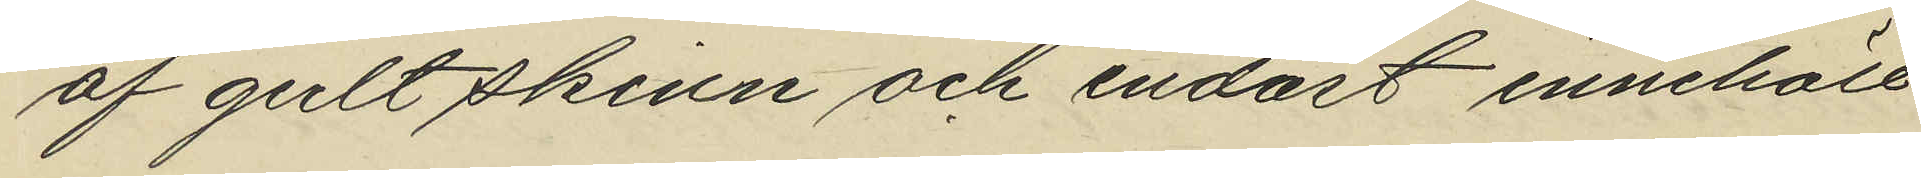af gult skinn och endast innehåll
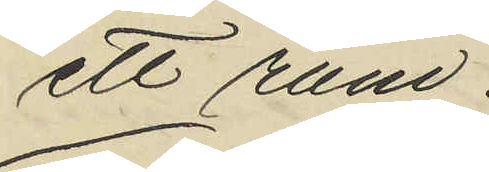ett rum.
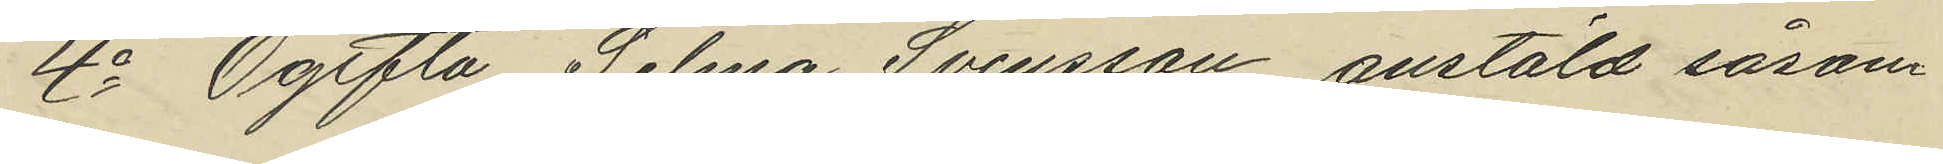4o Ogifta Selma Svensson anstäld såsom
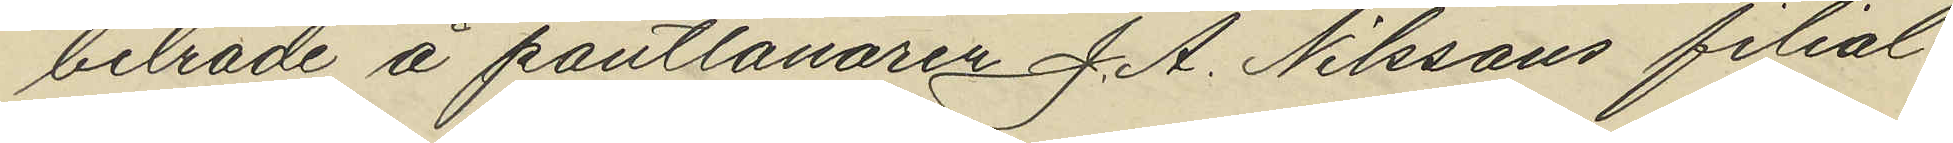biträde å pantlånaren J. A. Nilssons filial¬
